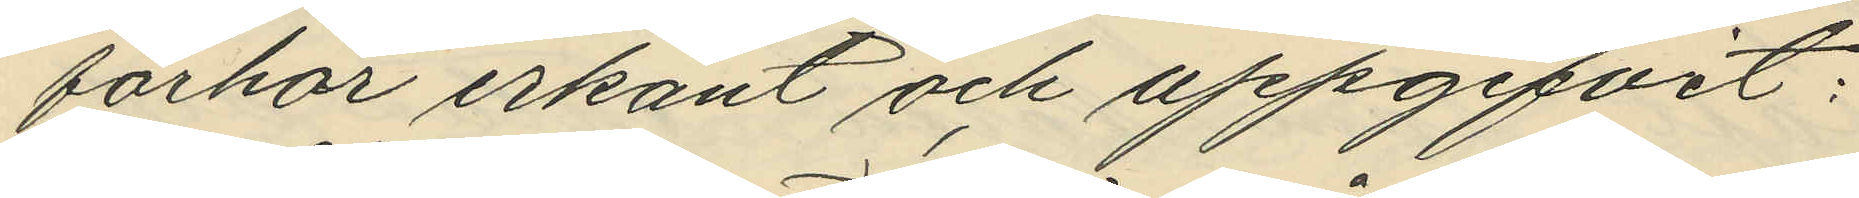förhör erkänt och uppgifvit:
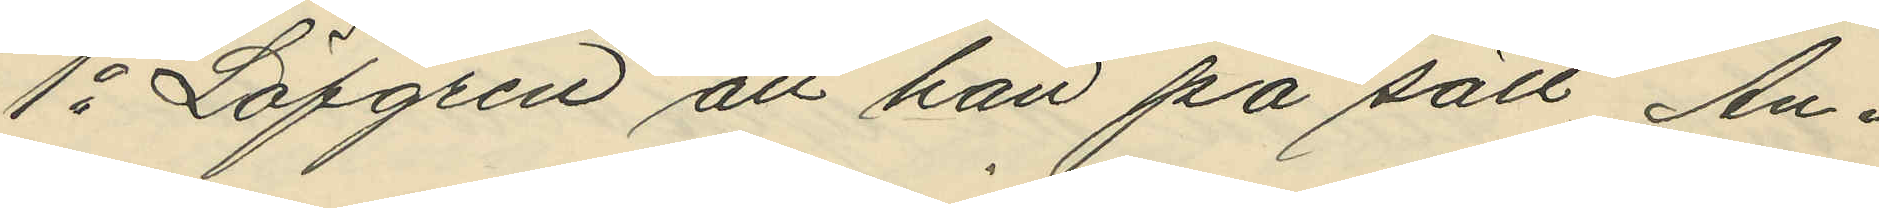1o Löfgren att han på sätt An¬
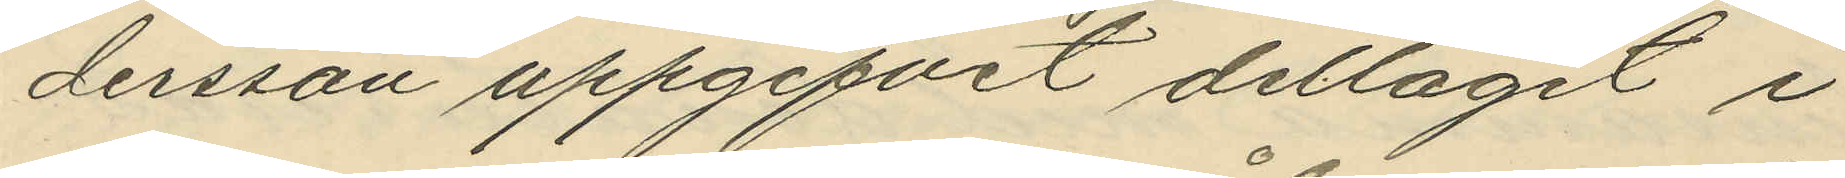dersson uppgifvit deltagit i
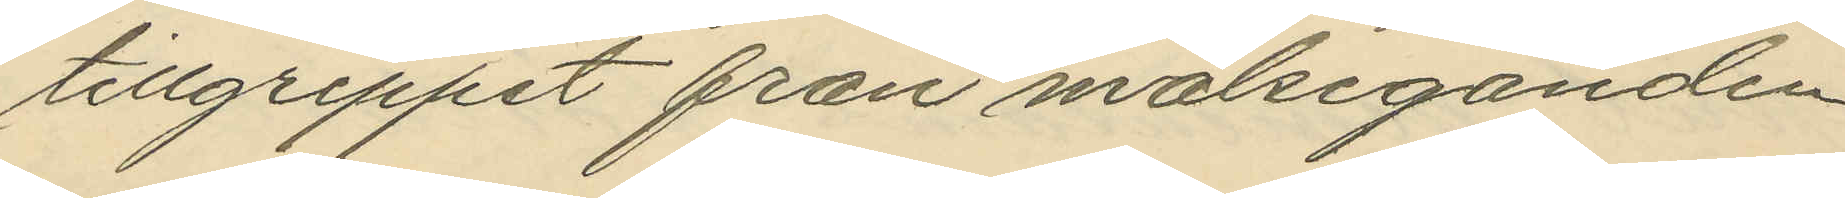tillgreppet från målseganden
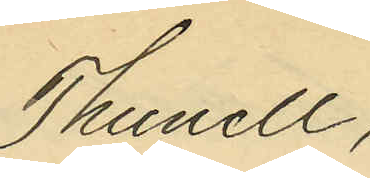Thunell;
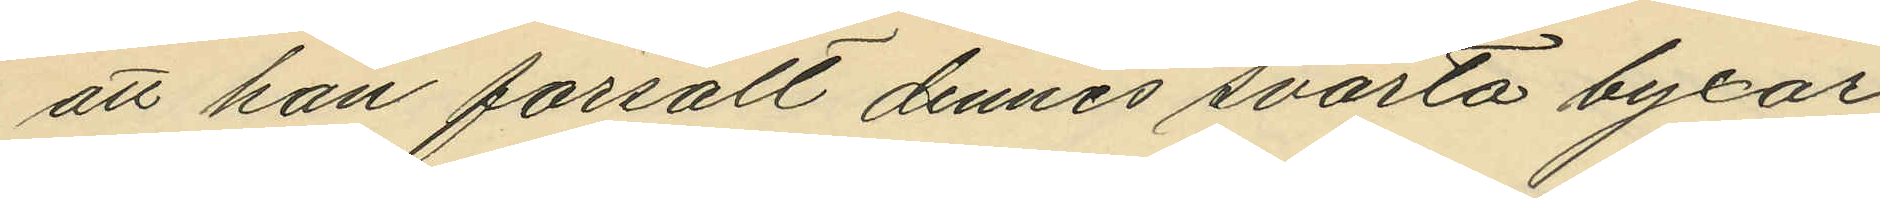att han försålt dennes svarta byxor
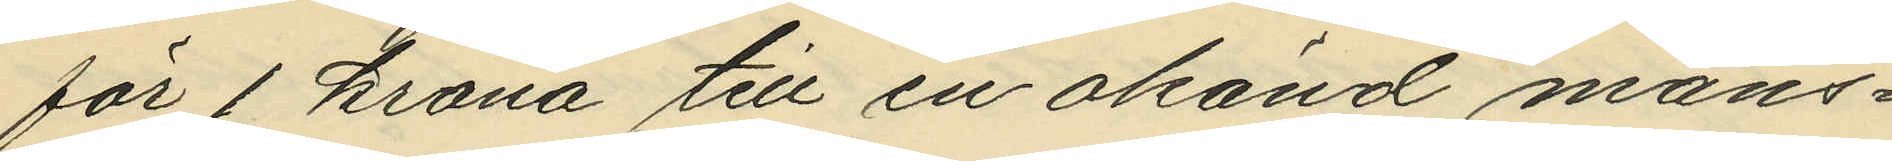för 1 krona till en okänd mans¬
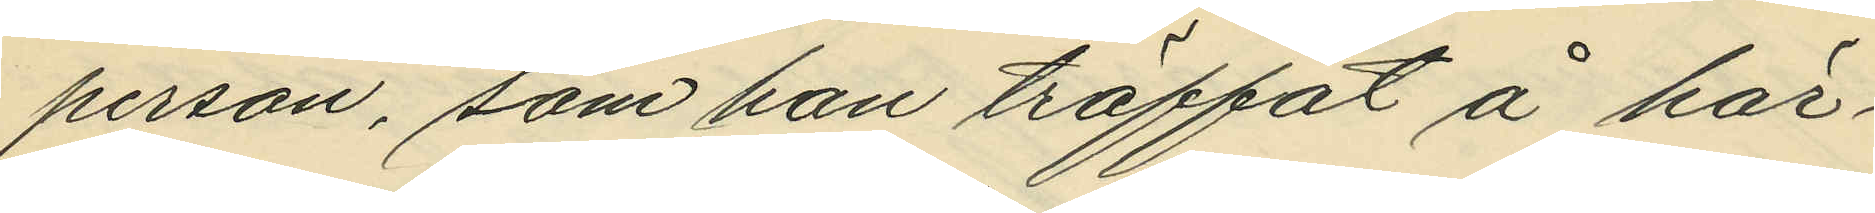person, som han träffat å här¬
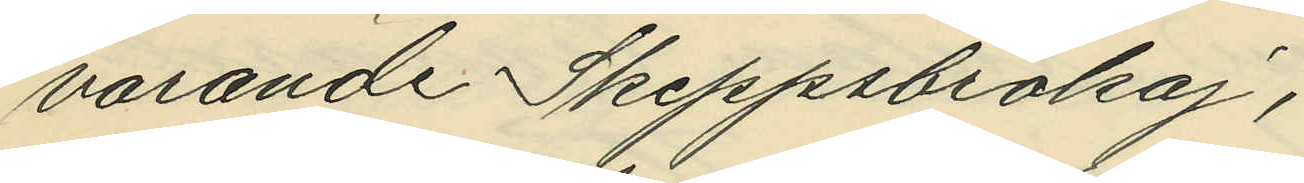varande Skeppsbrokaj;
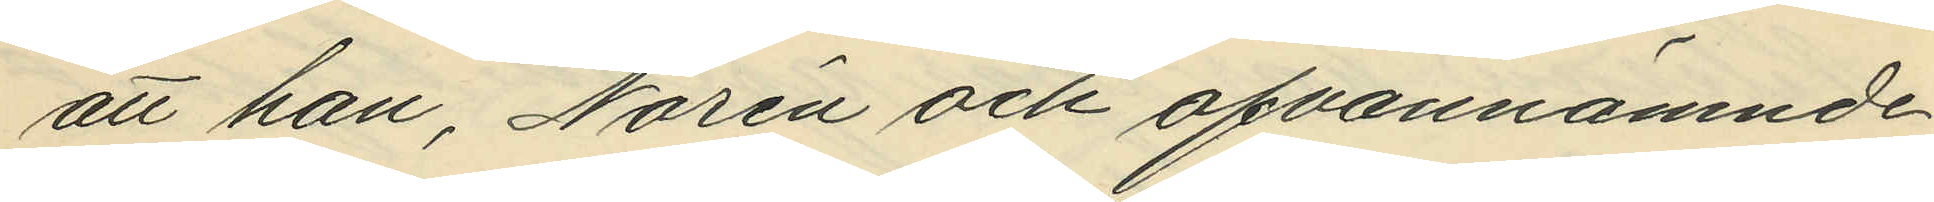att han, Norén och ofvannämnde
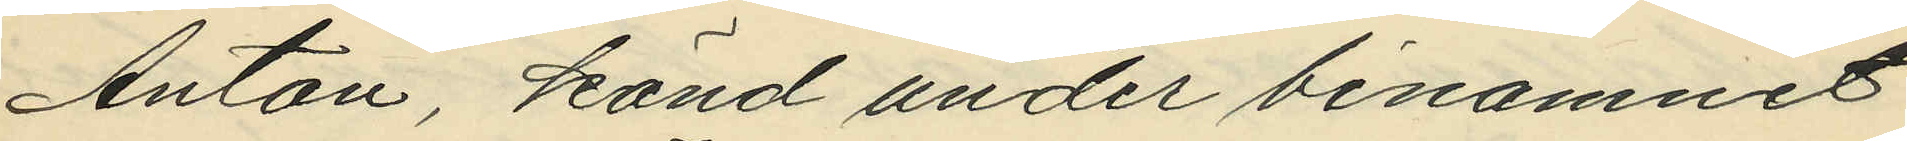Anton, känd under binamnet
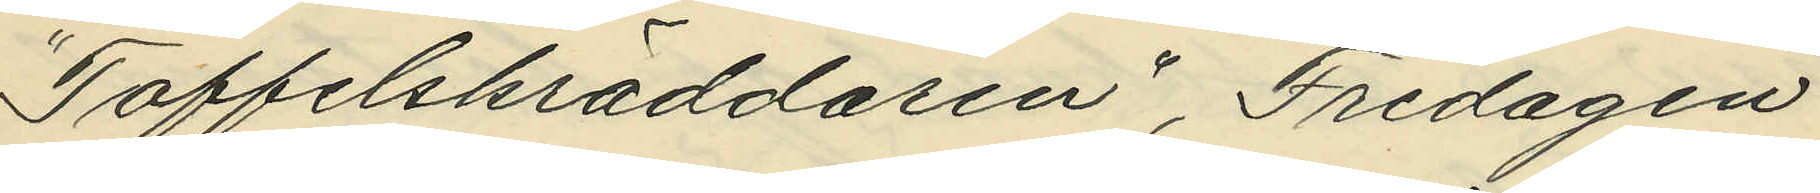"Toffelskräddaren", Fredagen
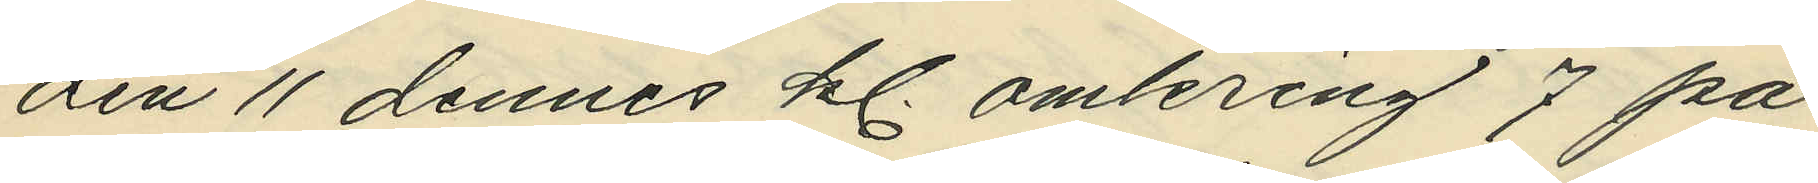den 11 dennes kl. omkring 7 på
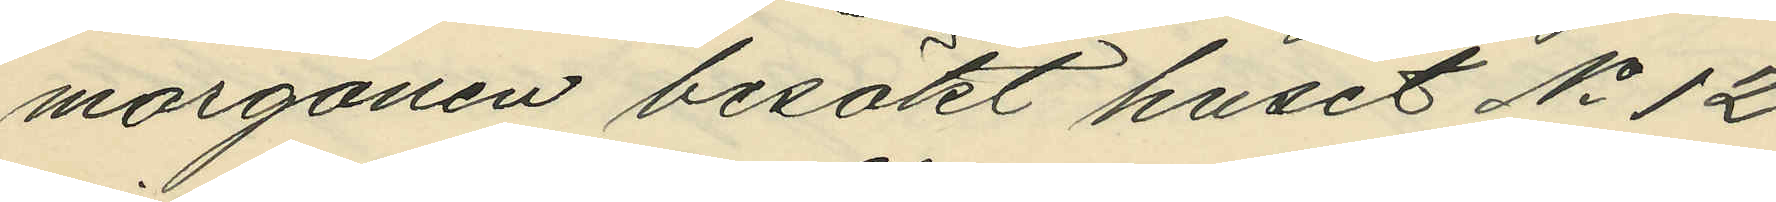morgonen besökt huset No 12
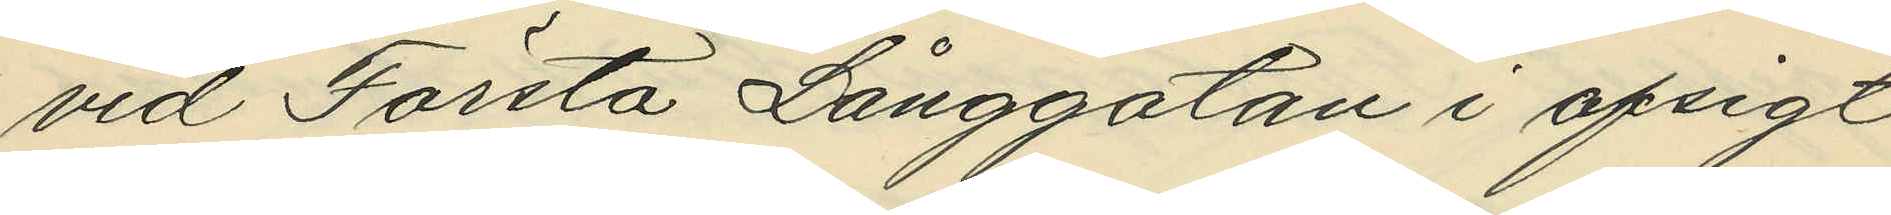vid Första Långgatan i afsigt
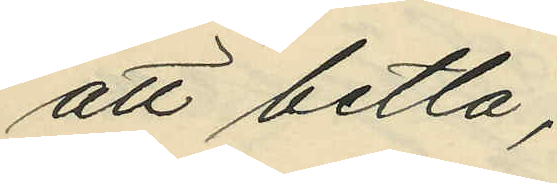att betla;
